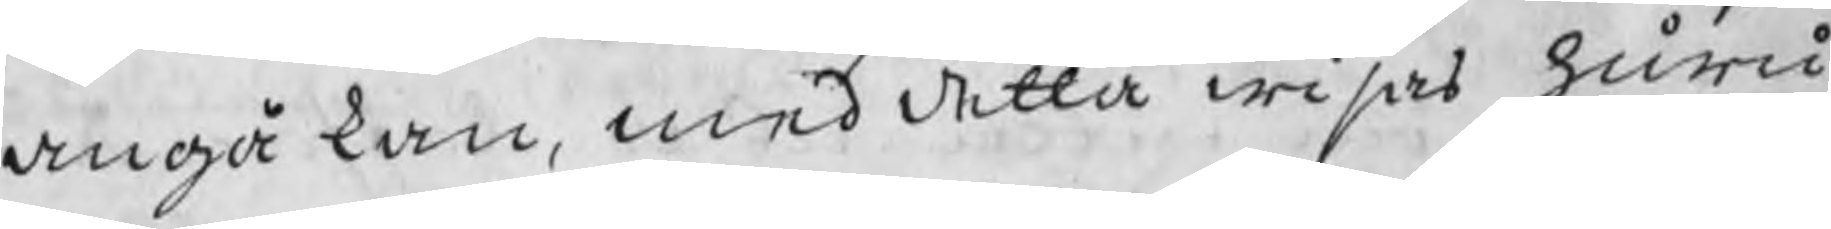angå kan, med detta wisas huru
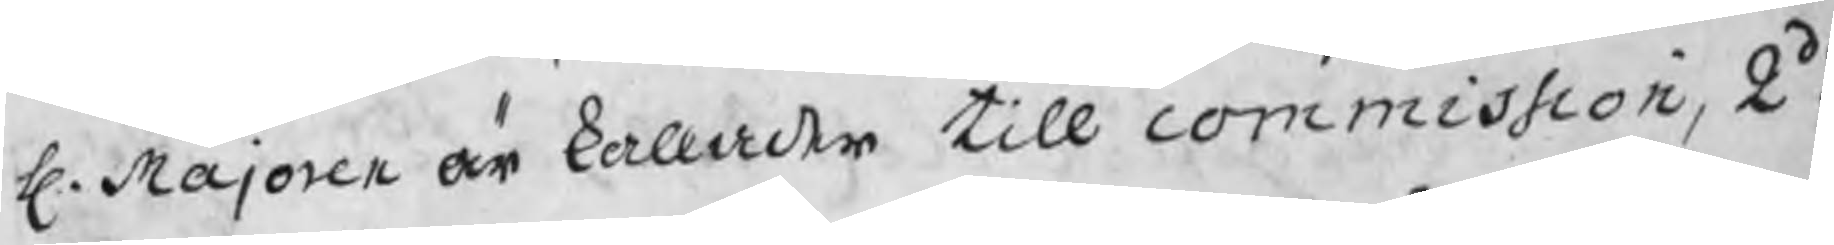H. Majoren är kallader till commission, 2do.
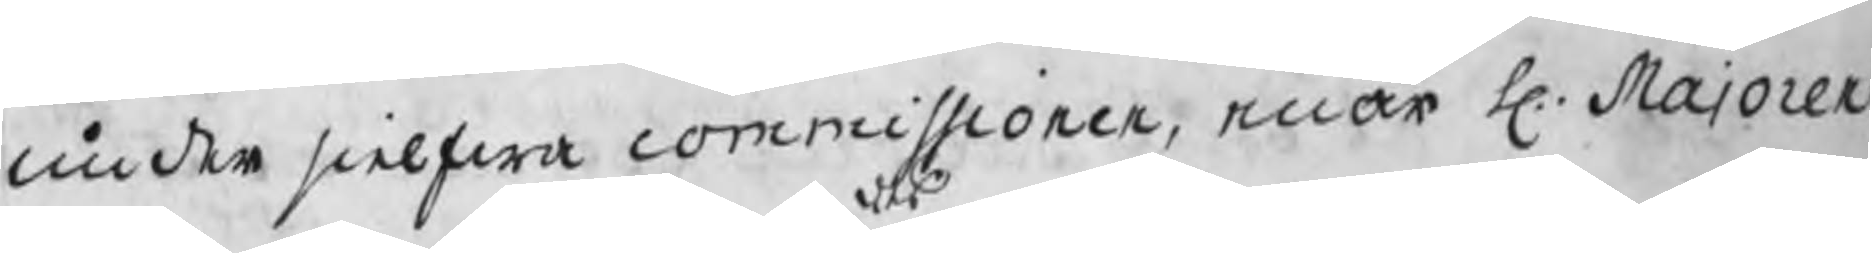under sielfwa commissionen, enär H. Majoren
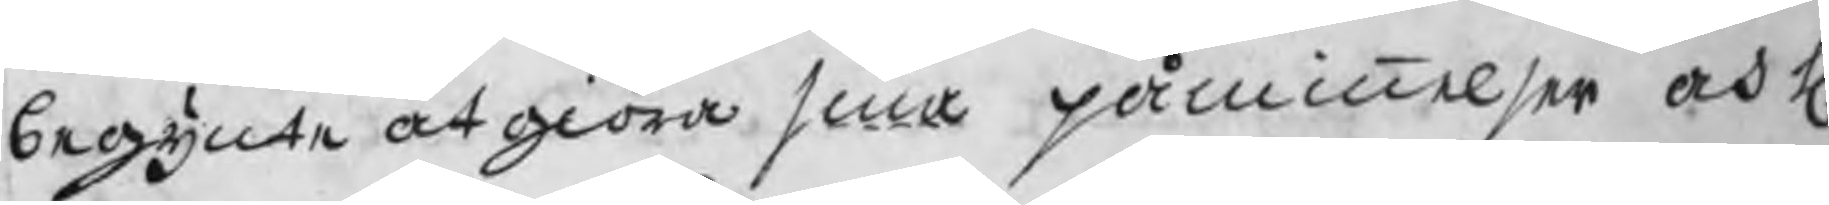begynte at giöra sina påminnelser och H.
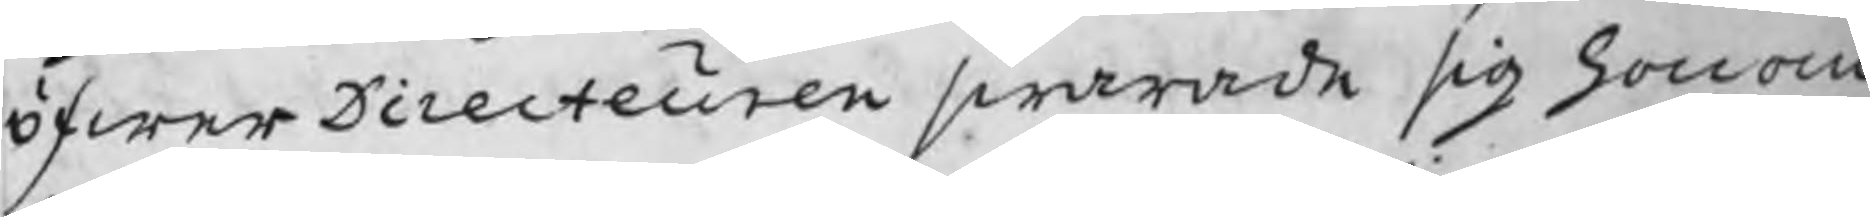öfwerDirecteuren swarade sig honom
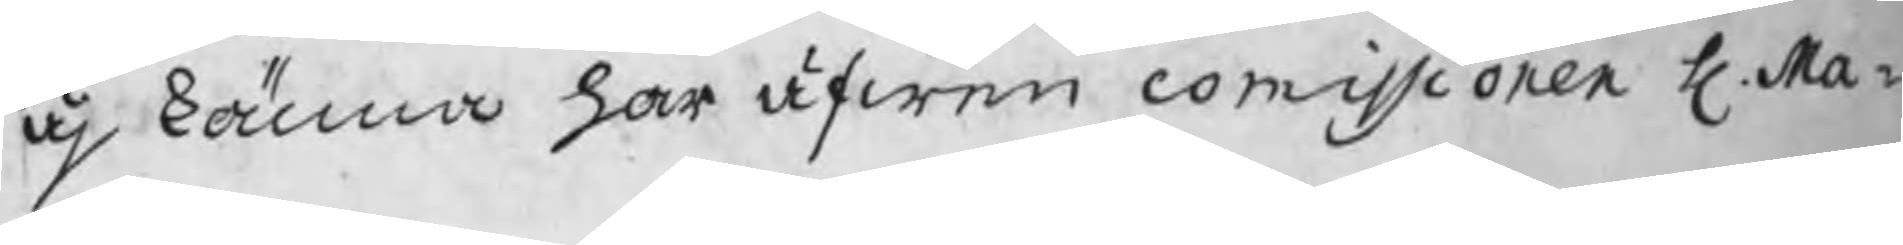äj känna har äfwen commissionen H. Ma¬
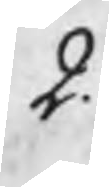2.
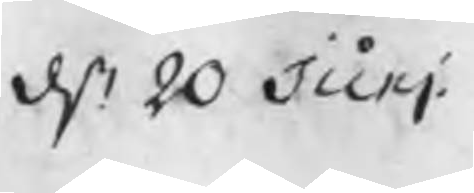d. 20 Junj
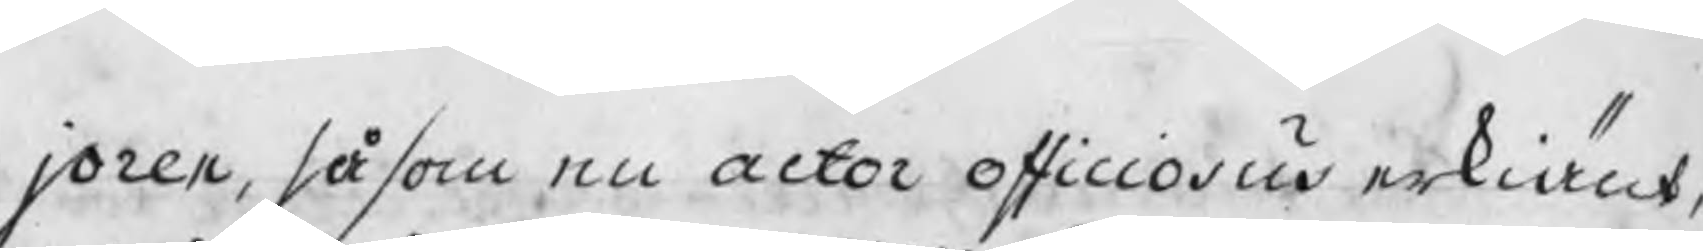joren, såsom en actor officiosus erkiänt,
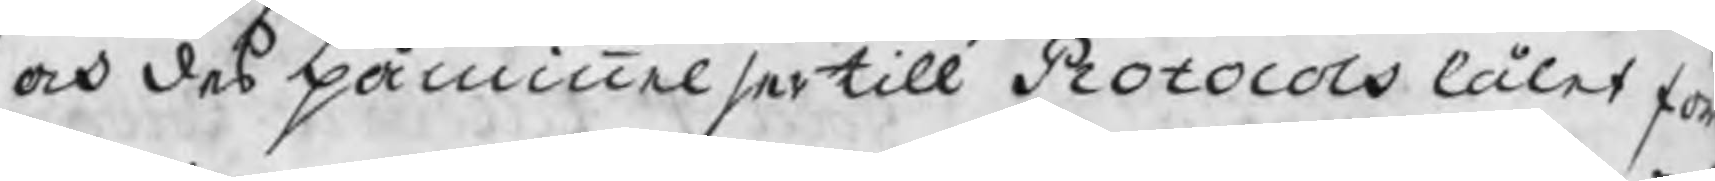och des påminnelser till Protocols låtet f
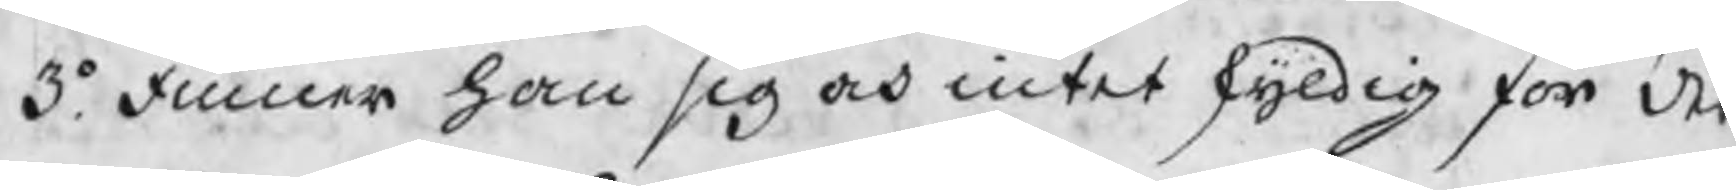3o. Finner han sig och intet skyldig för des
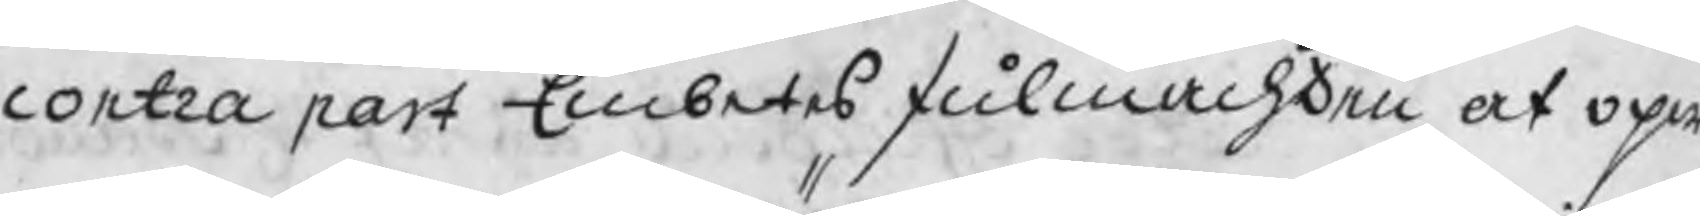contra part Embetes fulmachten at opw
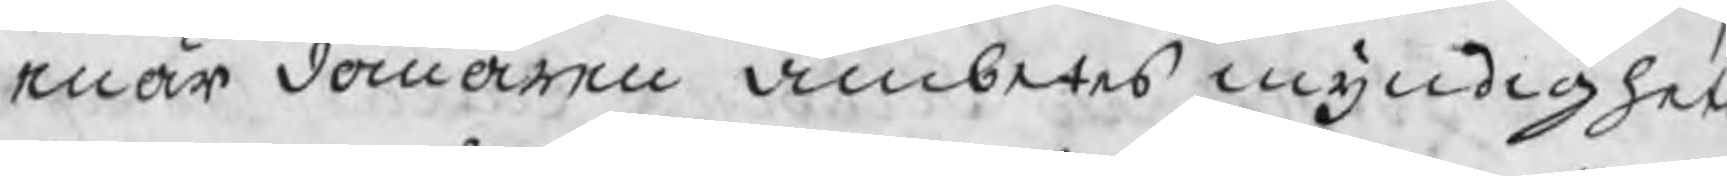enär domaren ämbetes myndighet
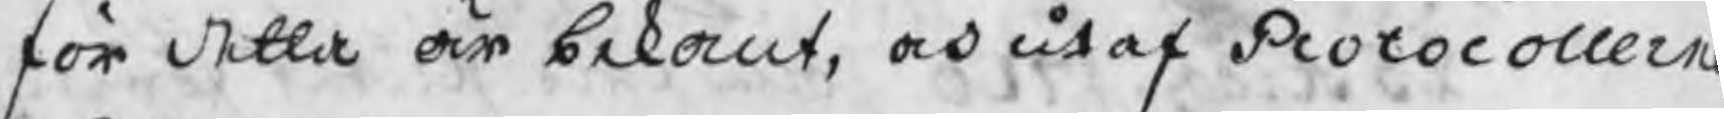för detta är bekant, och utaf Protocollerna
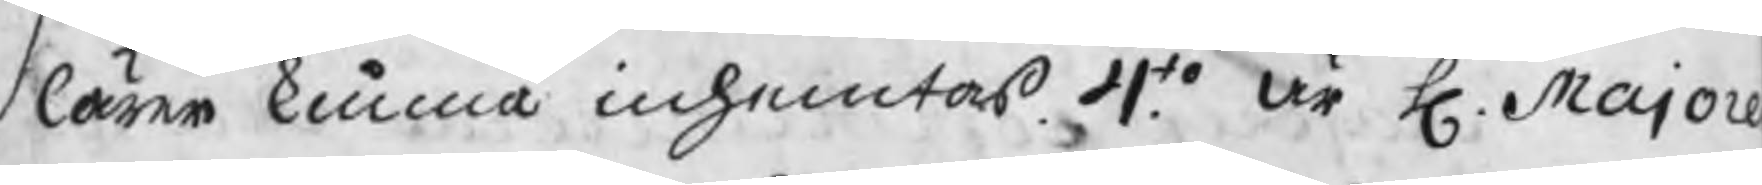lärer kunna inhemtas. 4to. är H. Majore
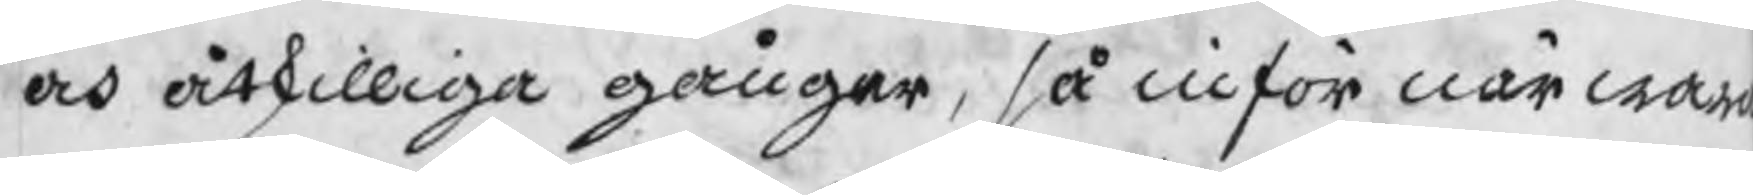och åtskilliga gånger, så inför närwar
